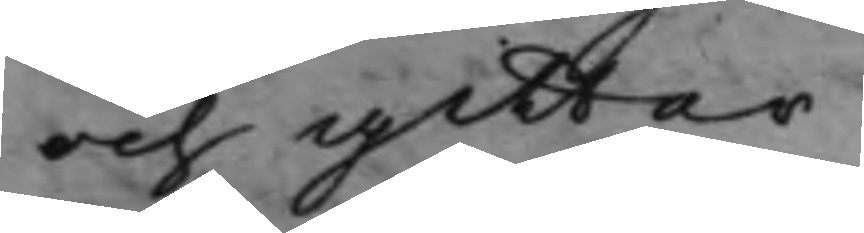och gitter.
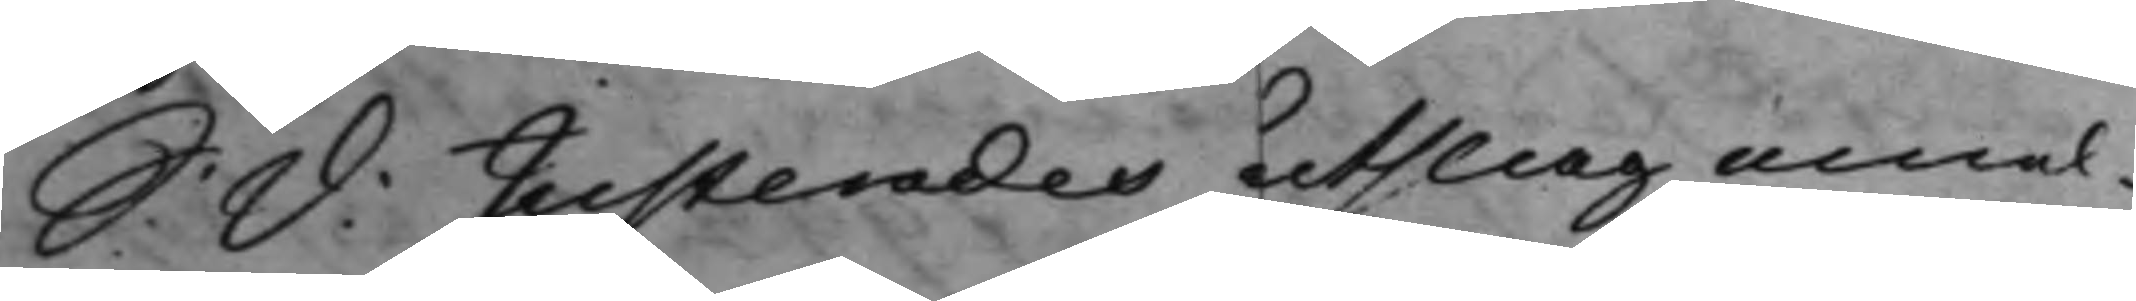S: d: Justerades utslag emel¬
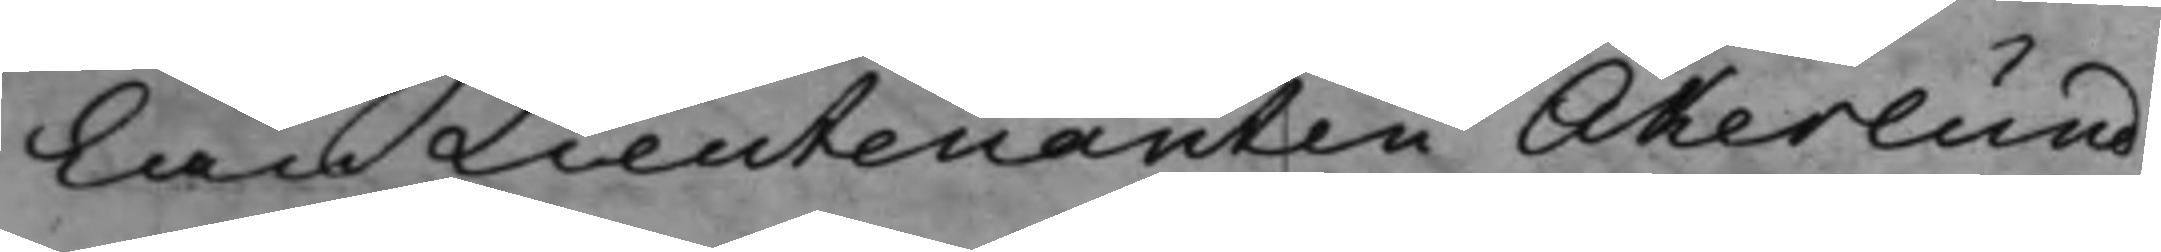lan Lieutenanten Åkerlund
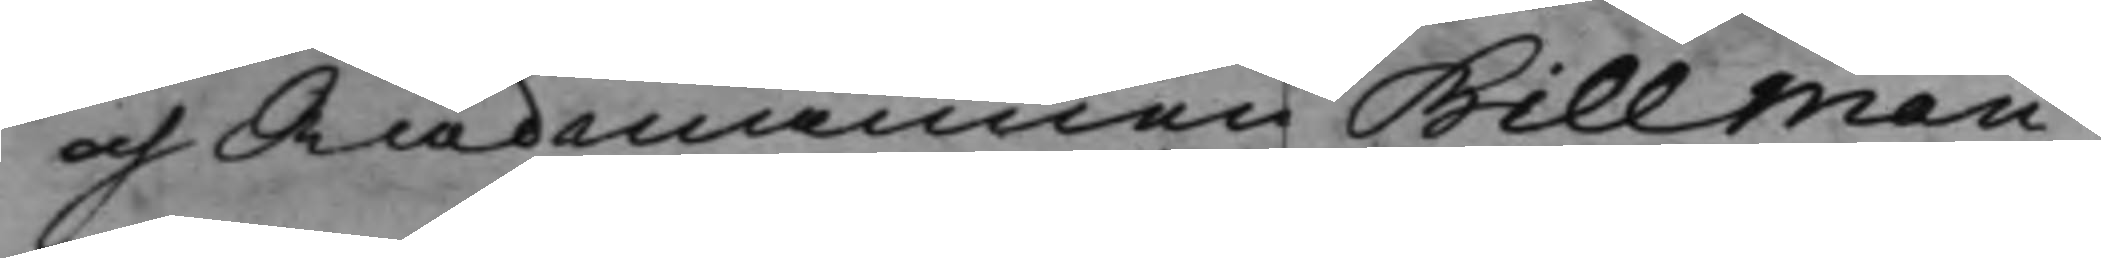och Rådmannen Billman,
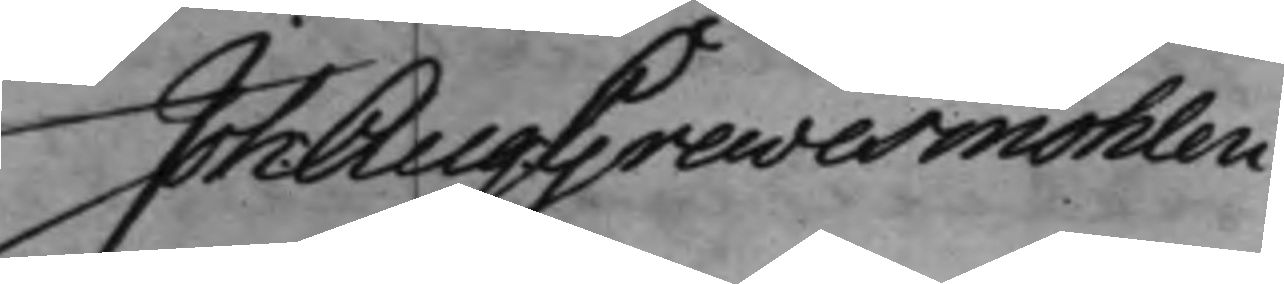Joh: Aug: Grevesmöhlen
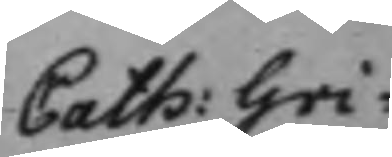Cath: Gri¬
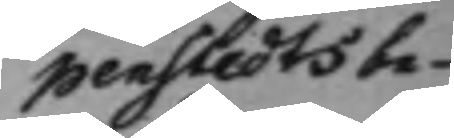penstedts be¬
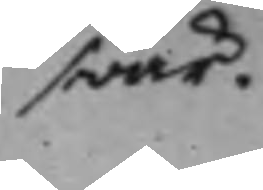swär.
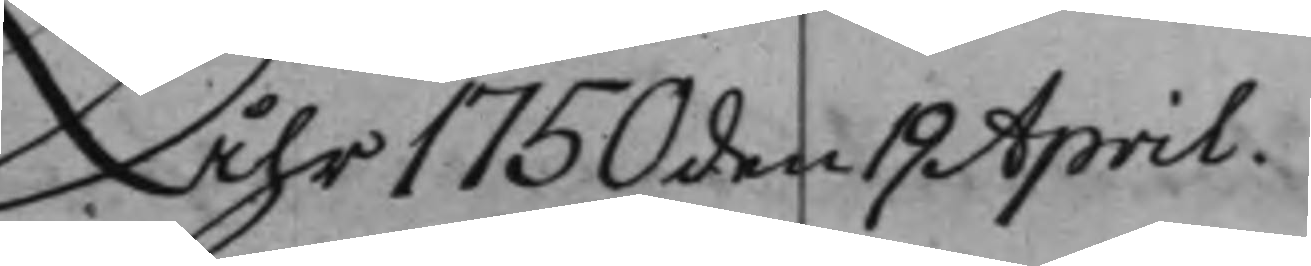Åhr 1750 den 19 April.
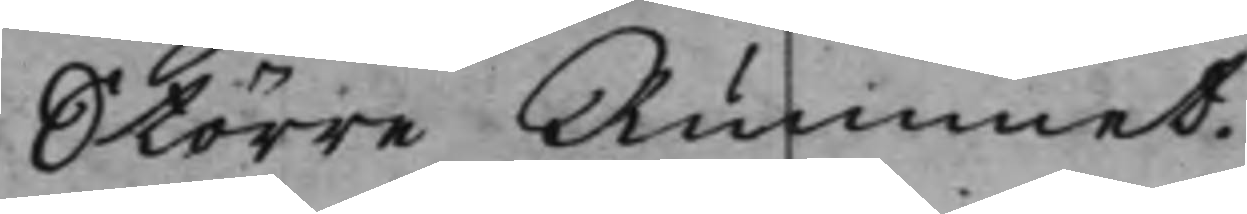Större Rummet.
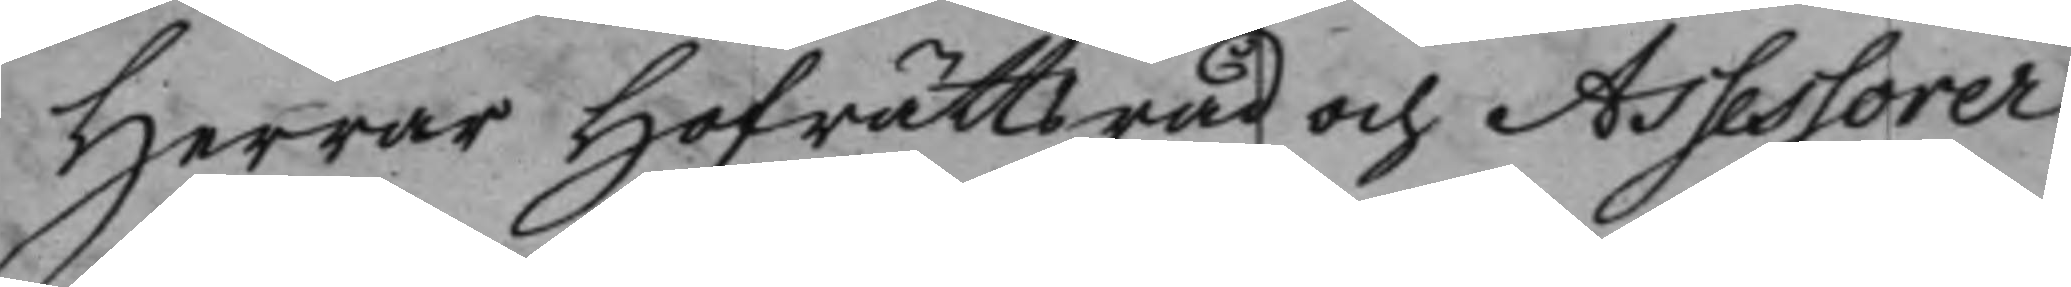Herrar Hofrättsråd och Assessorer
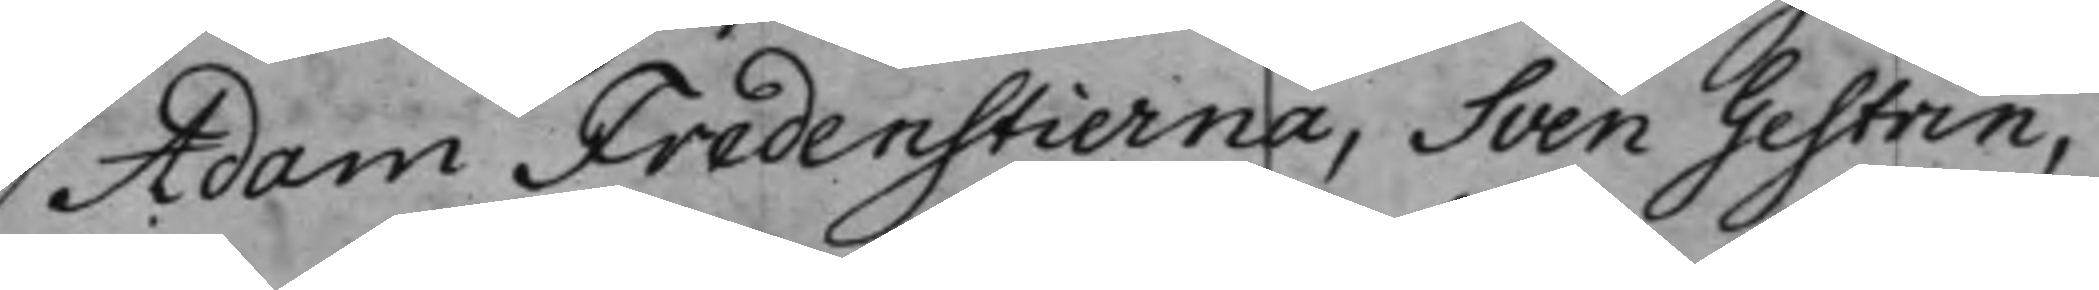Adam Fredenstierna, Sven Gestrin,
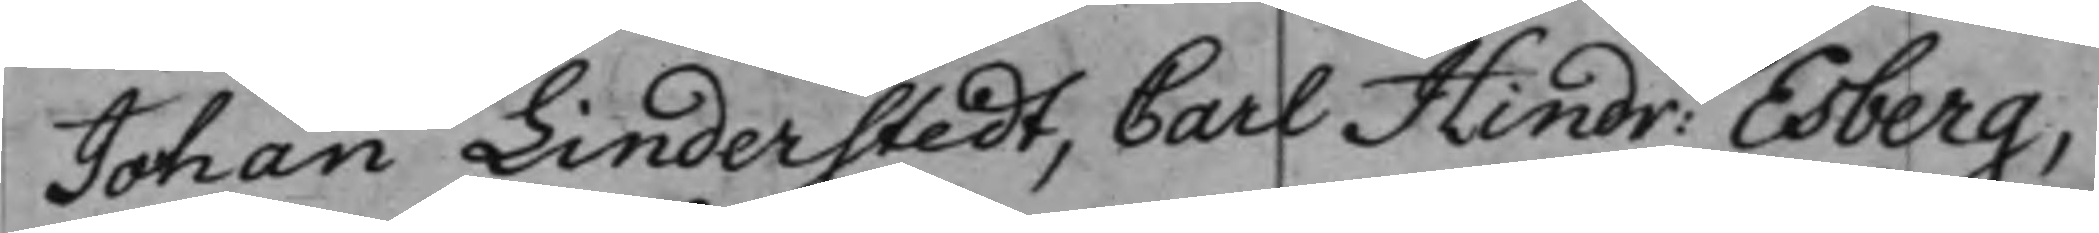Johan Linderstedt, Carl Hindr: Esberg,
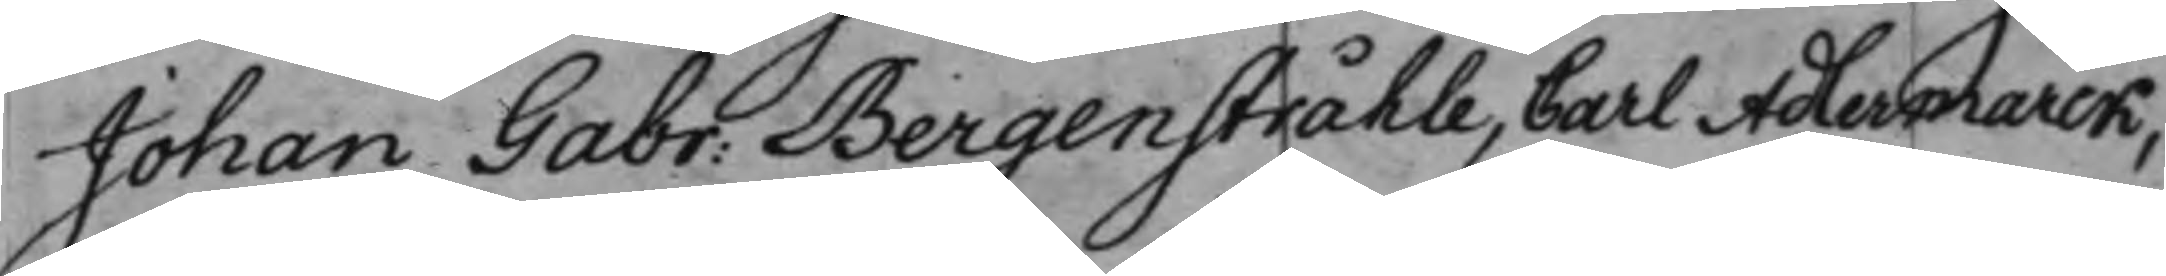Johan Gabr: Bergenstråhle, Carl Adlermarck,
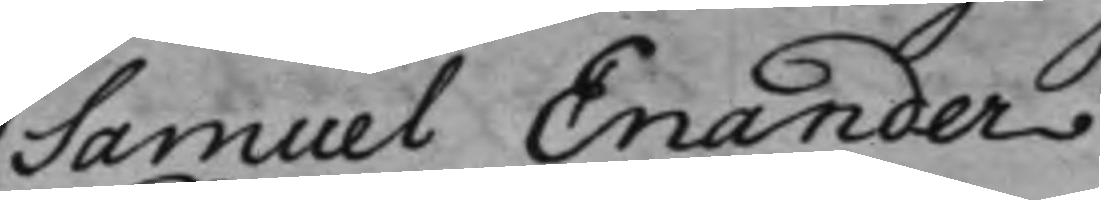Samuel Enander.
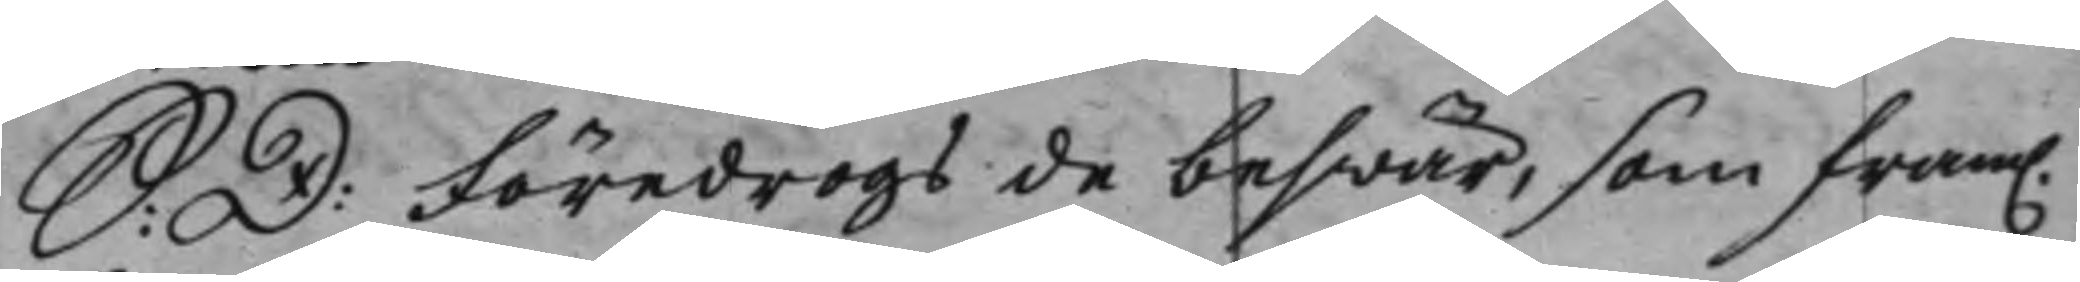S: D: Föredrogs de beswär, som fram.
